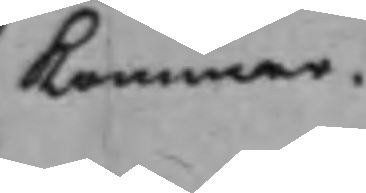Kommer.
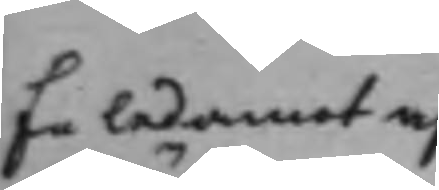En ledamot af¬
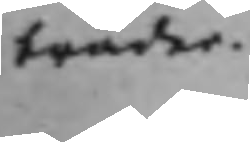träder.
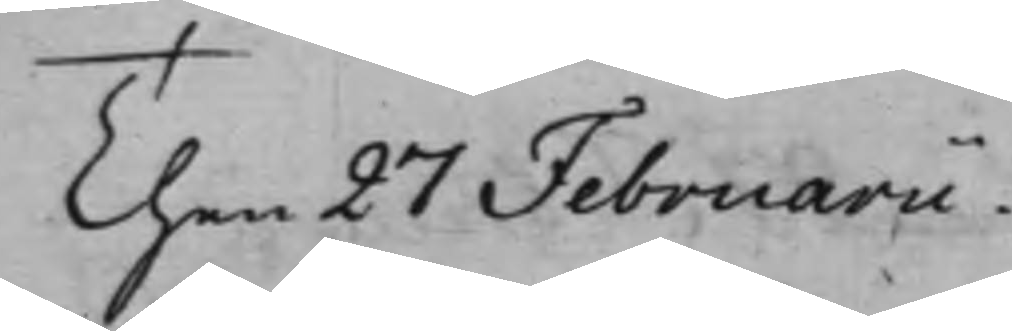Then 27 Februarii.
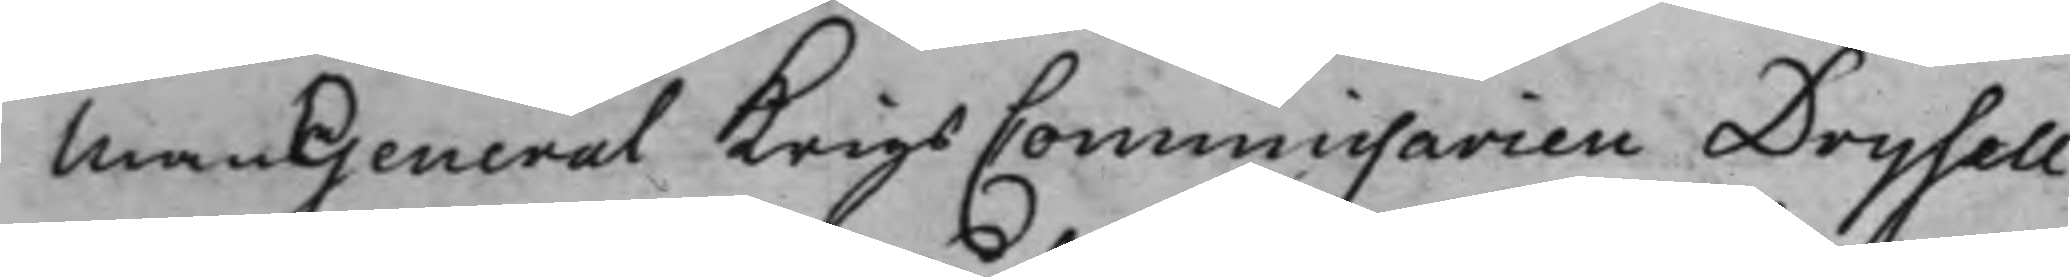Man General KrigsCommissarien Drysell
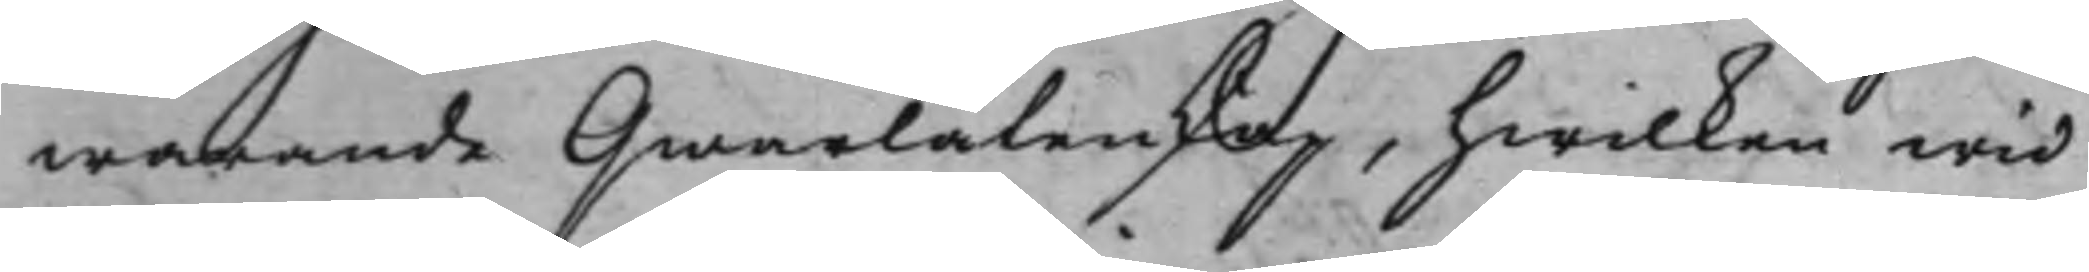warande Qwarlåtenskap, hwilken wid
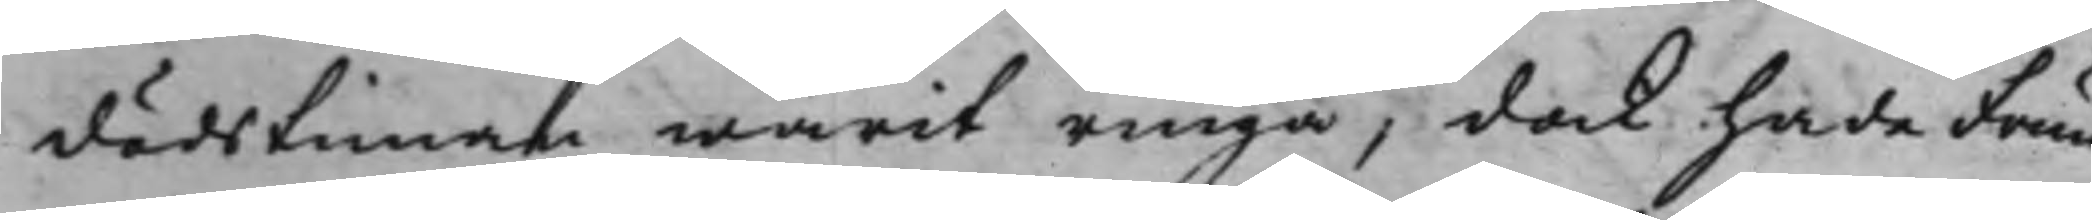dödstiman warit ringa, dock hade Frun
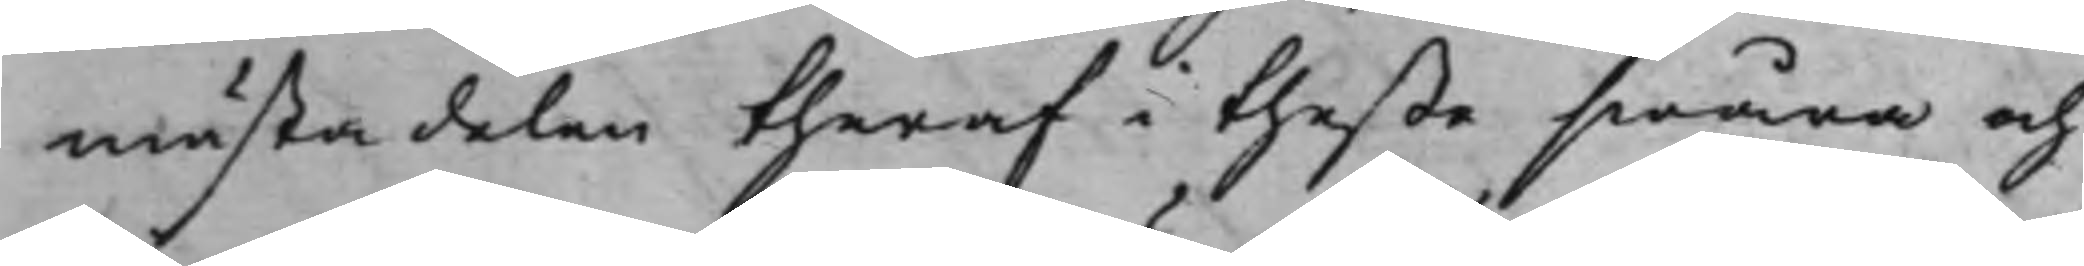mästa delen theraf i theße swåra och
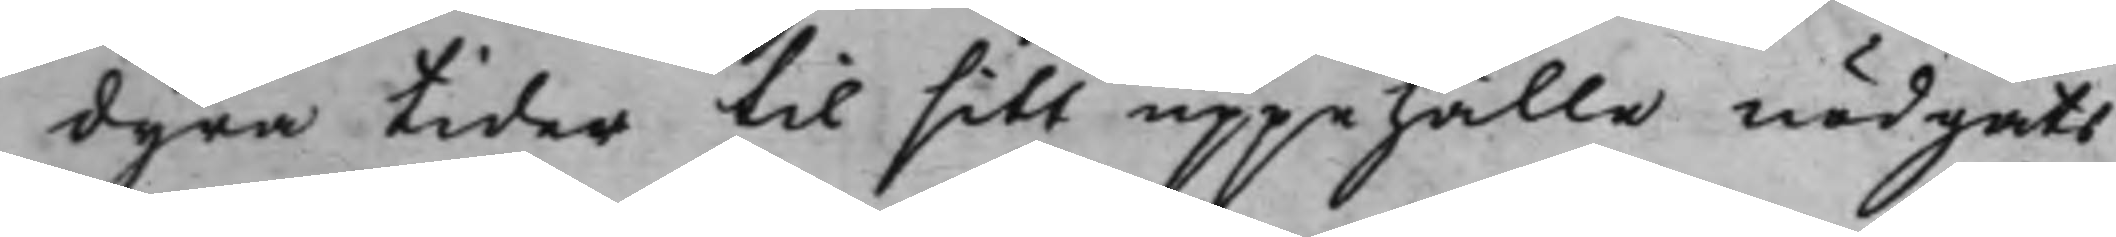dyra tider til sitt uppehålle nödgats
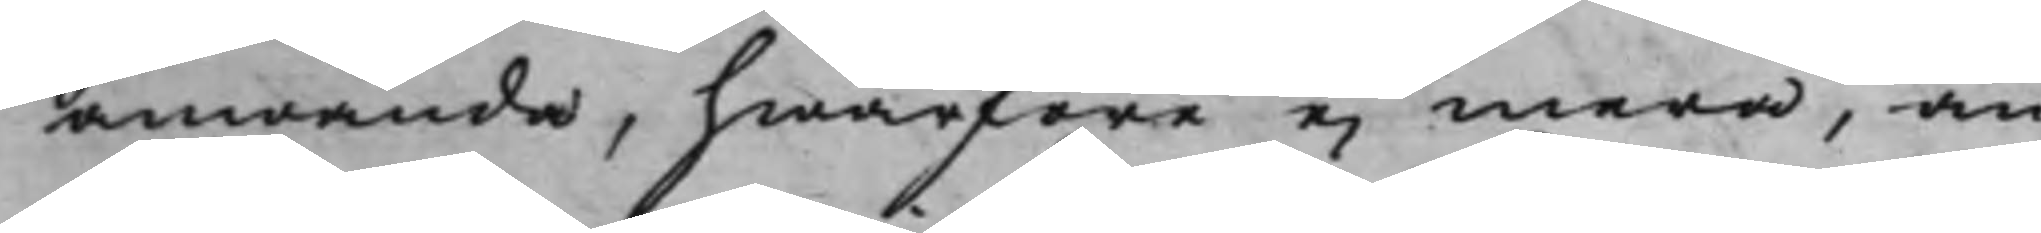anwända, hwarföre ei mera, än
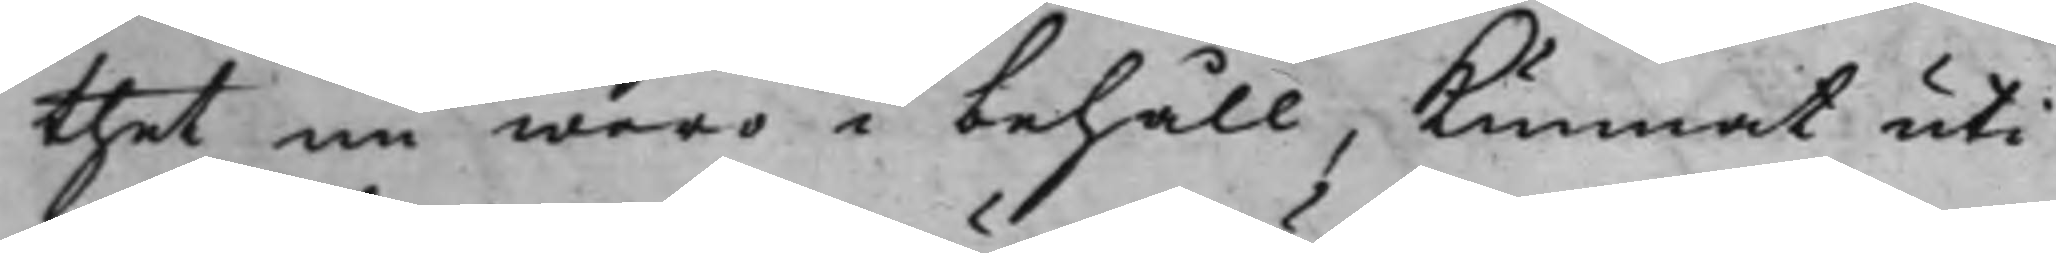thet nu woro i behåll, Kunnat uti
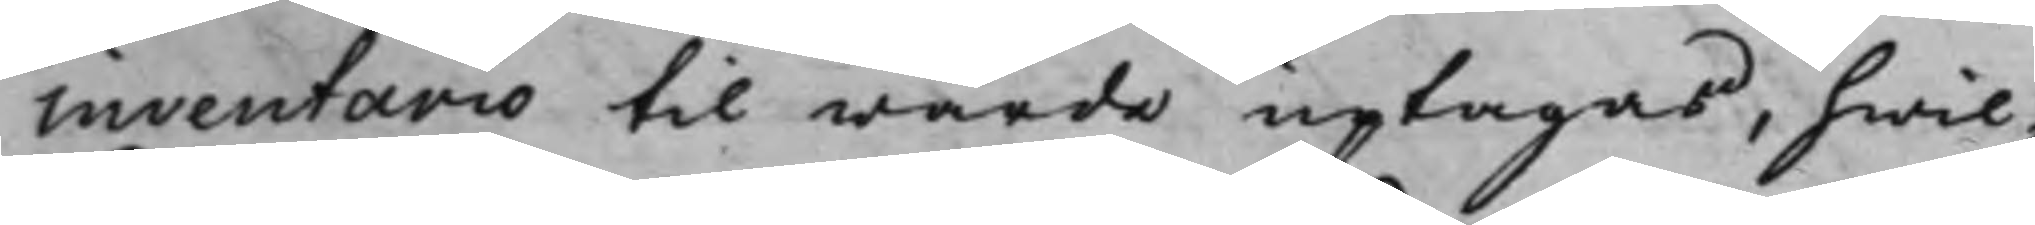inventario til wärde uptagas, hwil¬
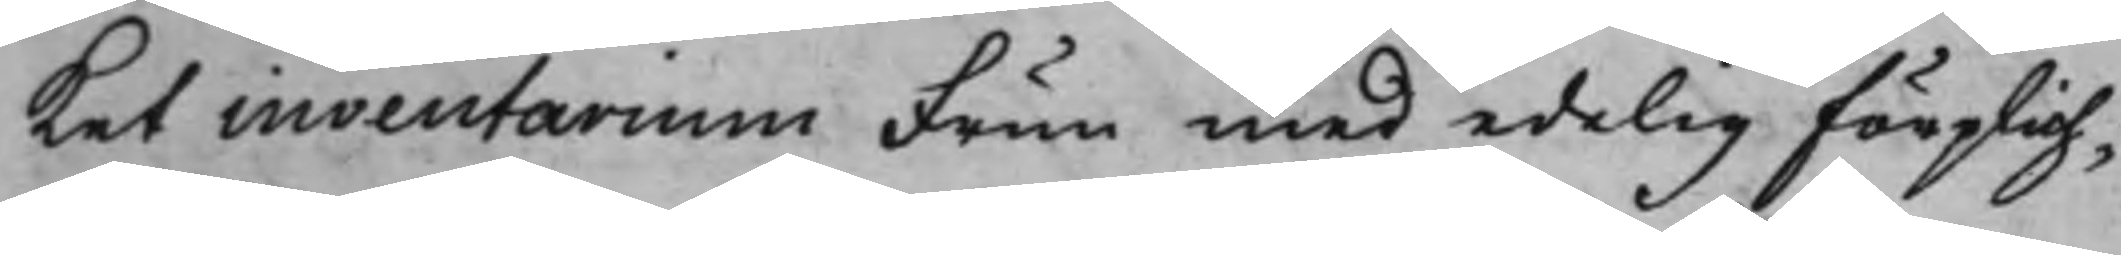Ket inventarium Frun med edelig förplich¬
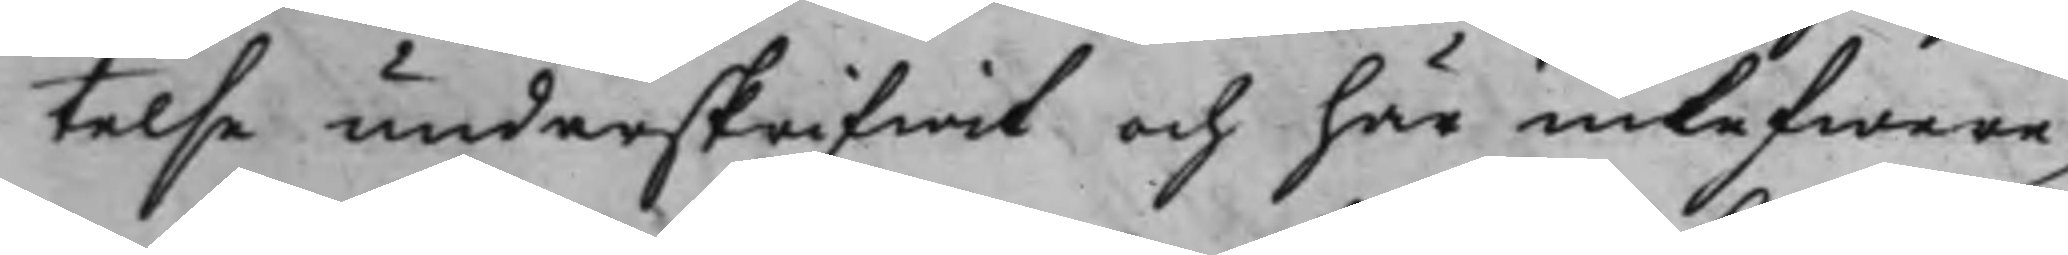telse underskrifwit och här inlefwere¬
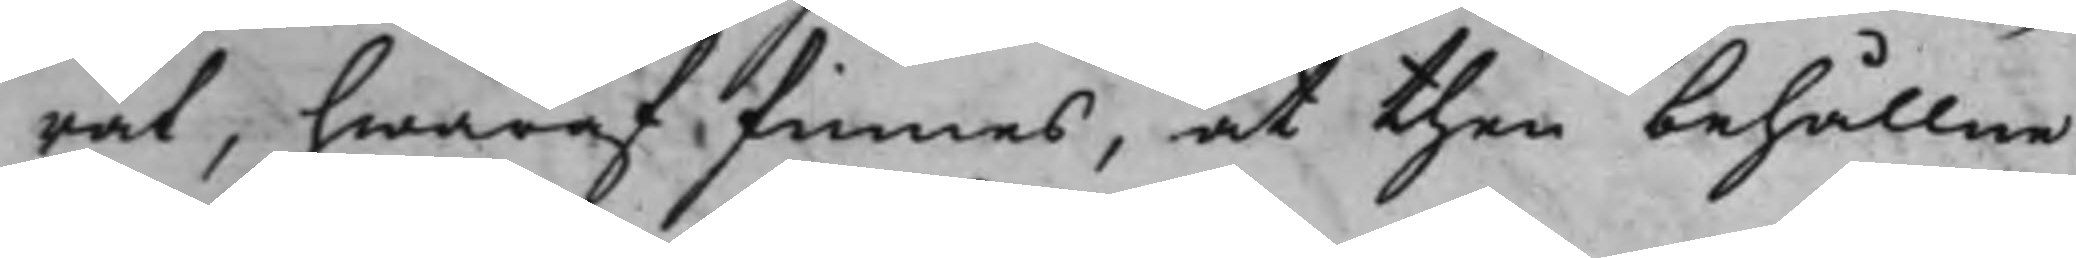rat, hwaraf finnes, at then behållne
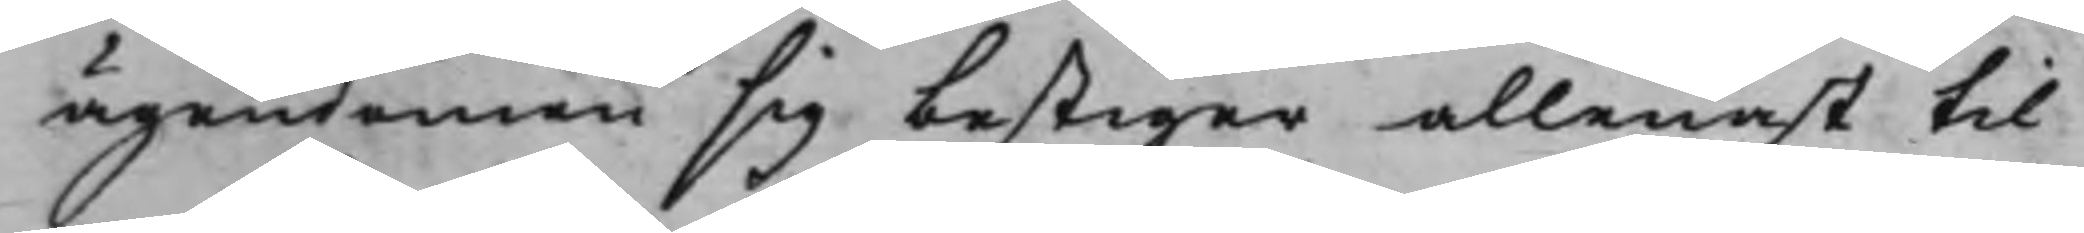ägendomen sig bestiger allenast til
